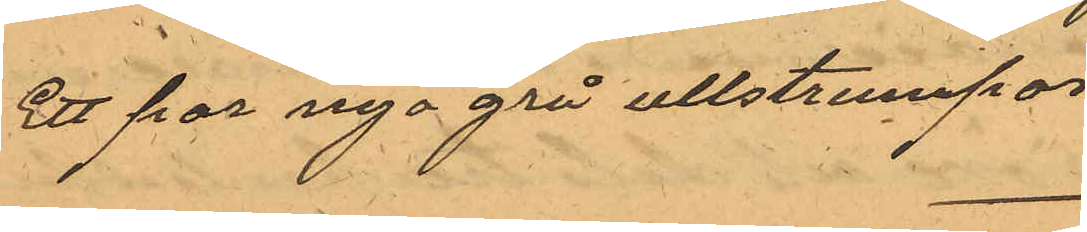Ett par nya grå ullstrumpor
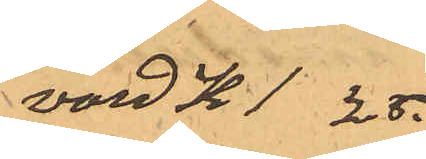värd K 1 25.
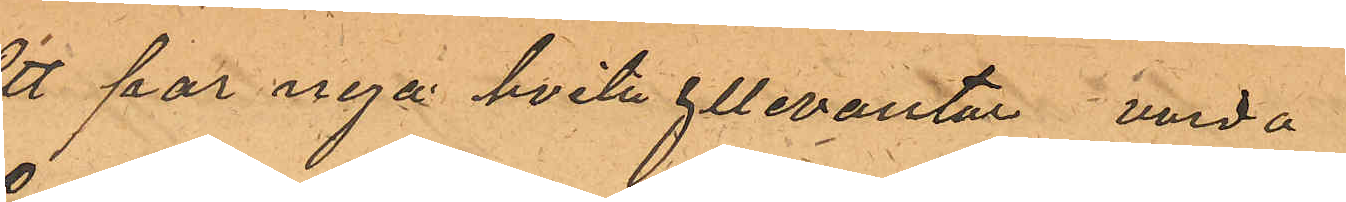Ett par nya hvita yllevantar varda
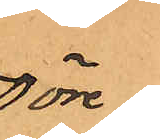50 öre
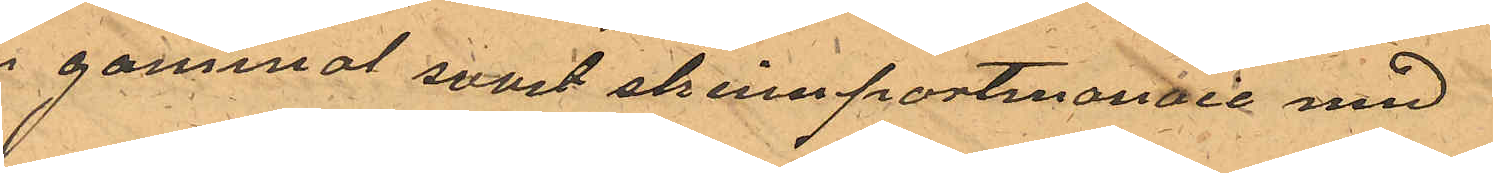En gammal svart skinnportmonaie med
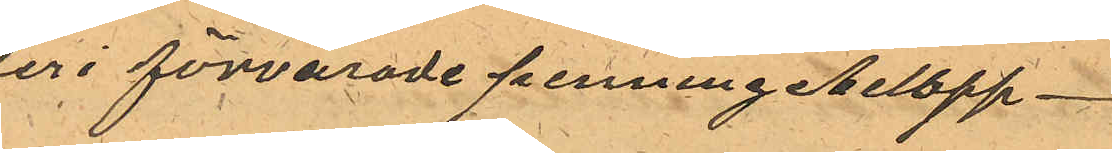der i förvarade penningebelopp
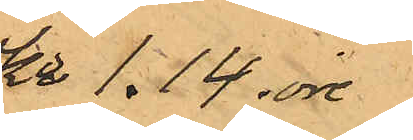Kr 1.14 öre
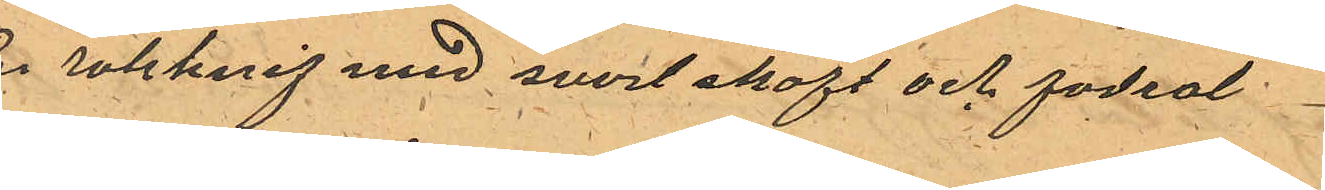En rakknif med svart skaft och fodral
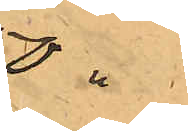50 "
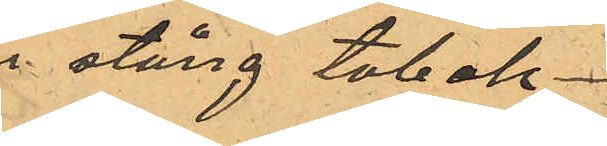En stång tobak
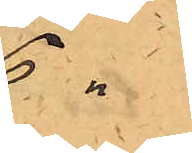6 "
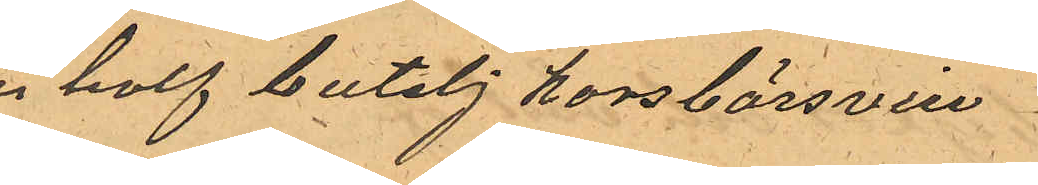En half butelj korsbärsvin
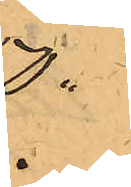50 "
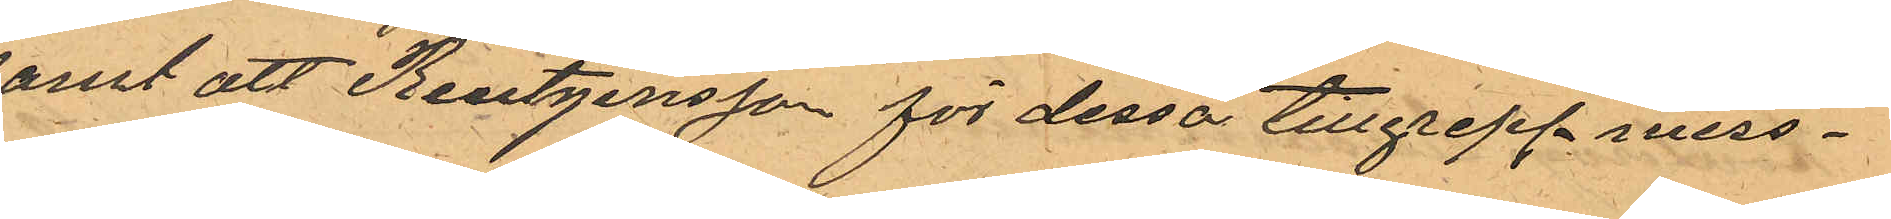samt att Reutgersson för dessa tillgrepp miss¬
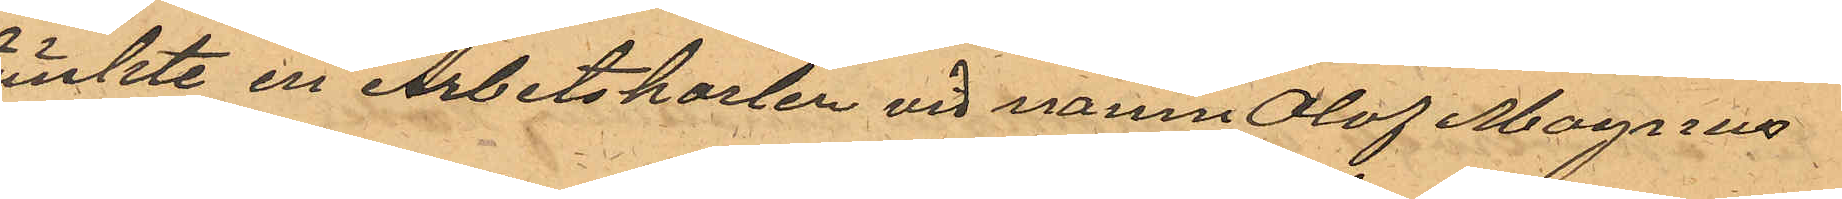tänkte en Arbetskarlen vid namn Olof Magnus
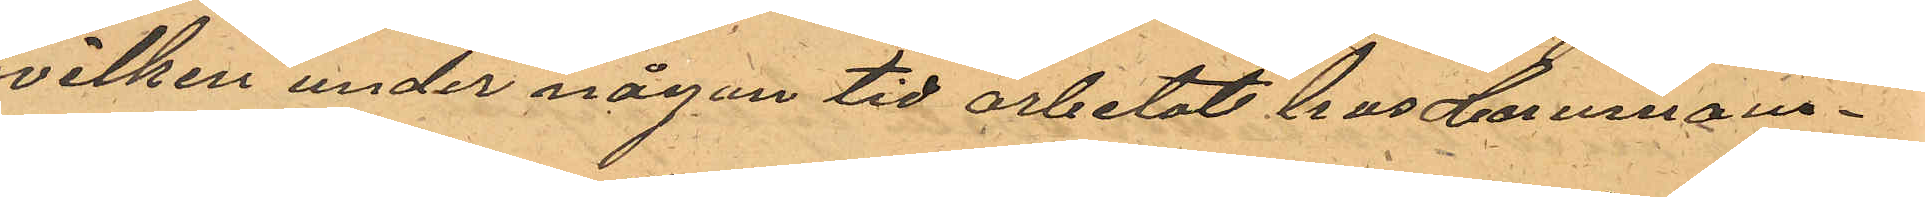hvilken under någon tid arbetat hos Hemmans¬
